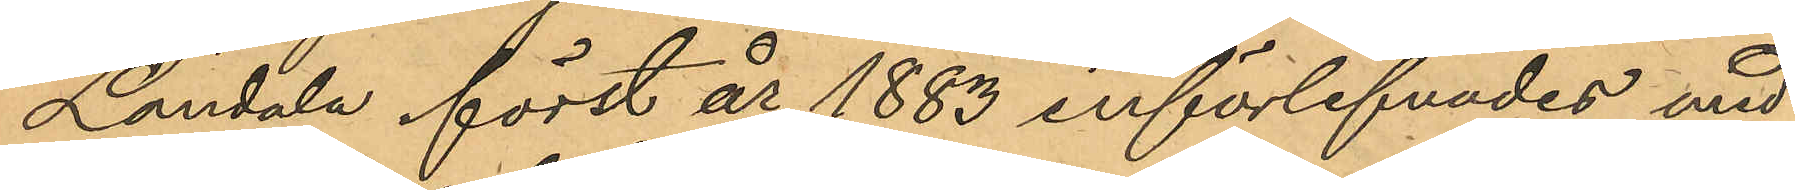Landala först år 1883 införlifvades med
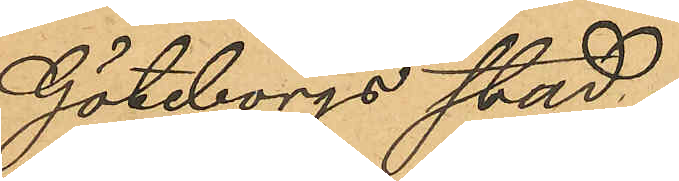Göteborgs stad.
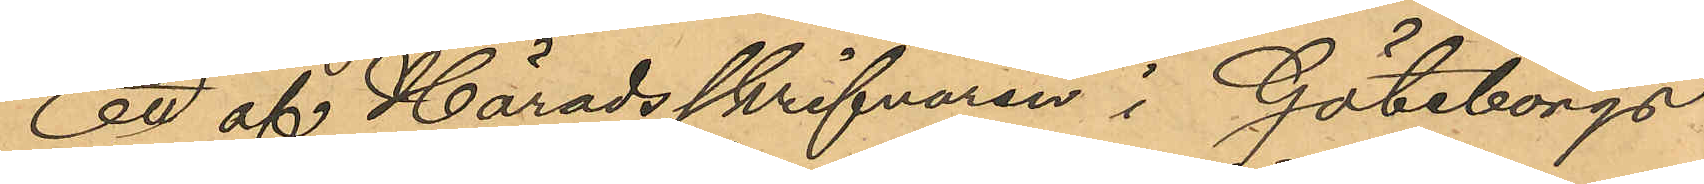En af Häradsskrifvaren i Göteborgs
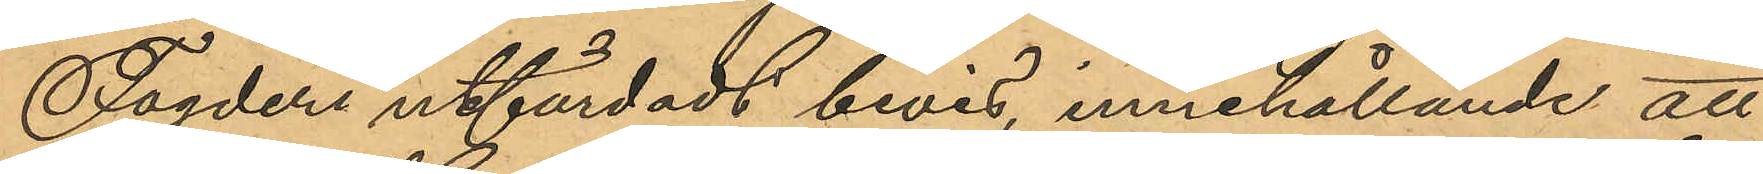Fogderi utfärdadt bevis, innehållande att
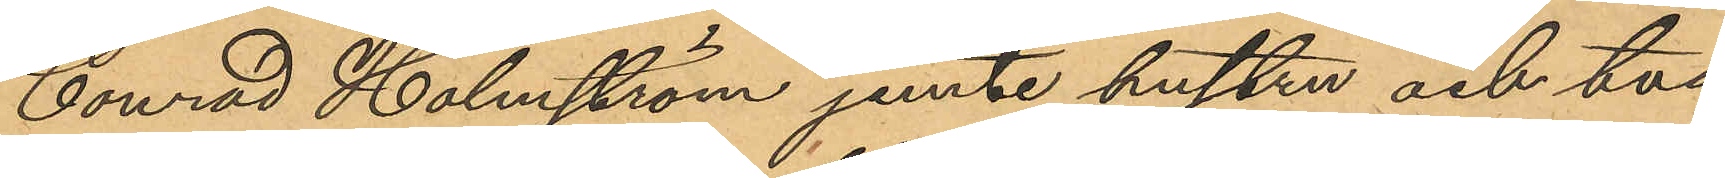Conrad Holmström jemte hustru och två
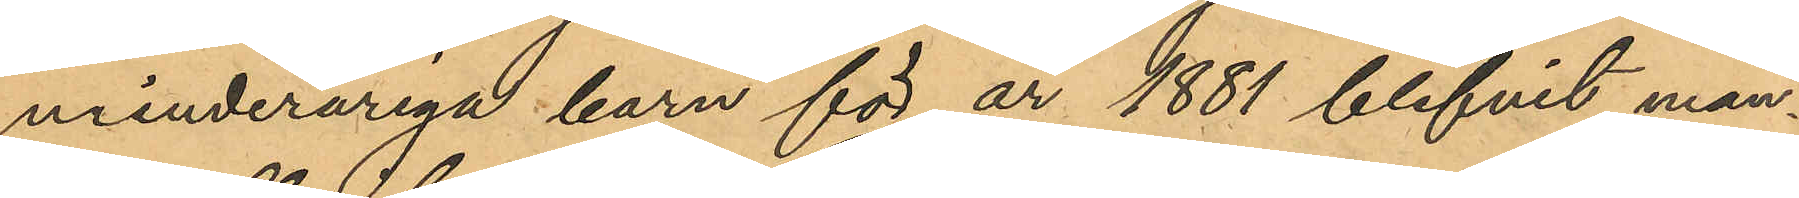minderåriga barn för år 1881 blifvit man¬
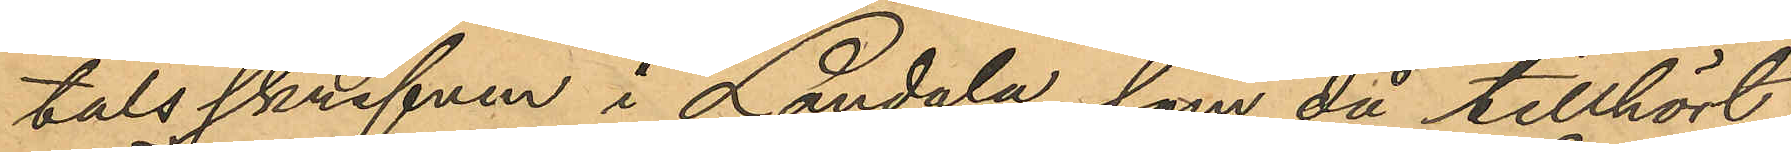talsskrifven i Landala, som då tillhört
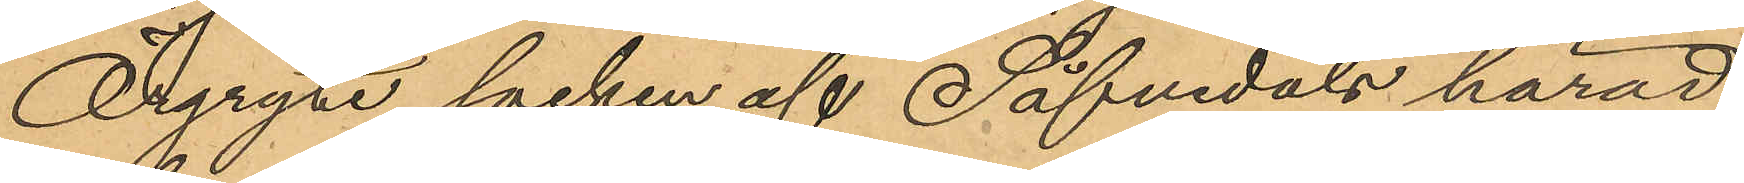Örgryte socken af Säfvedals härad,
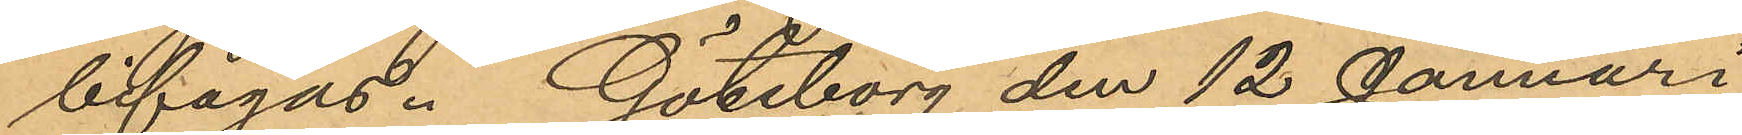bifagas. Göteborg den 12 Januari
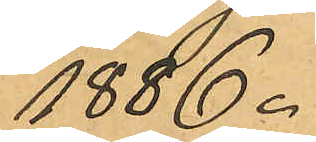1886.
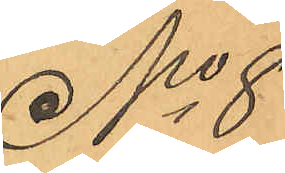No 8
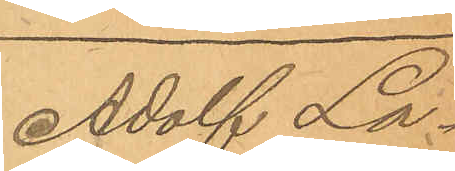Adolf La¬
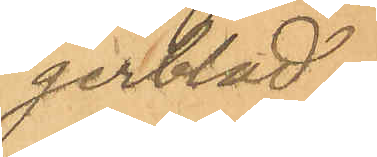gerblad.
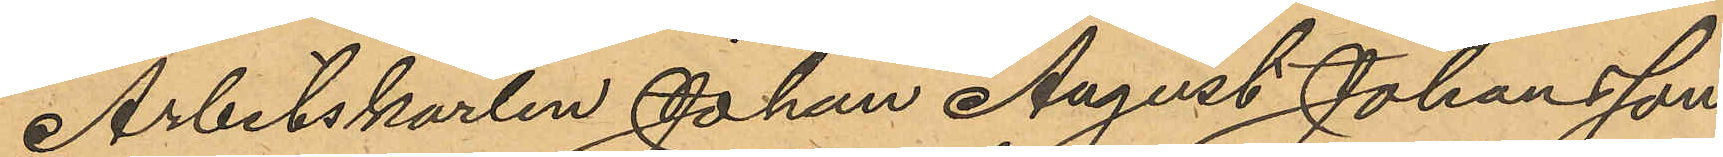Arbetskarlen Johan August Johansson
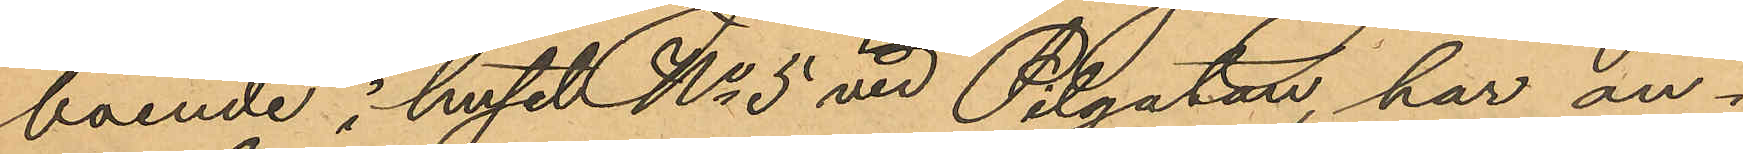boende i huset No 5 vid Pilgatan, har an¬
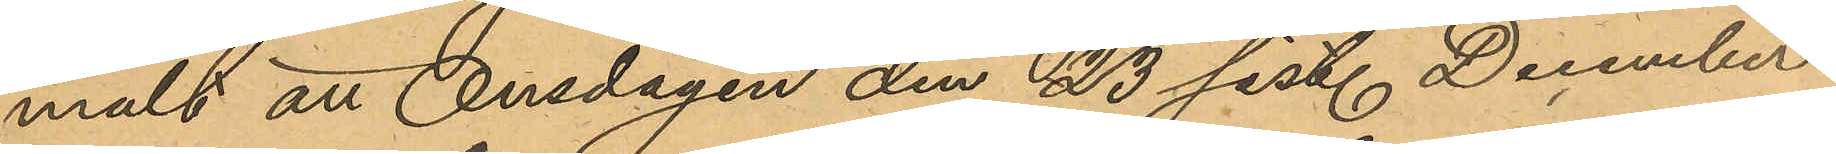mält att Onsdagen den 23 sist. December
